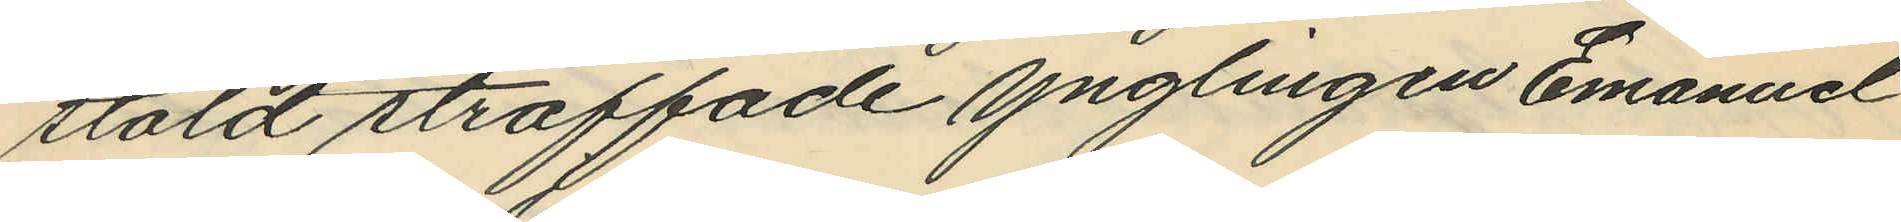stöld straffade ynglingen Emanuel
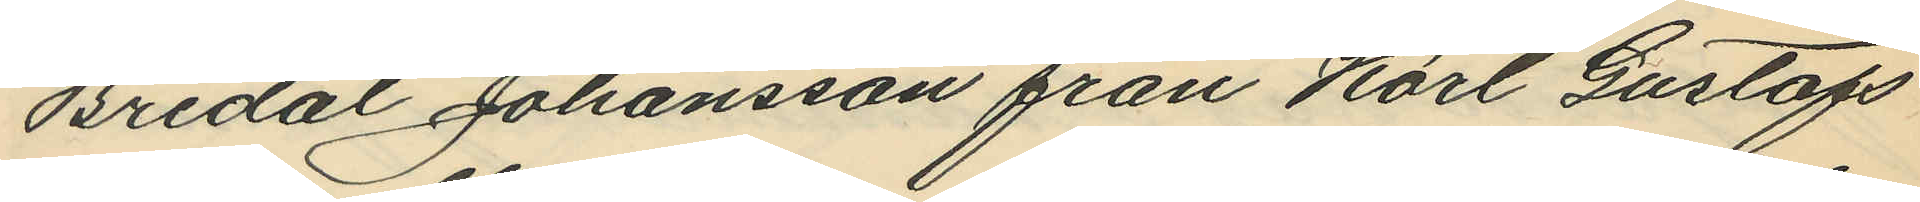Bredal Johansson från Karl Gustafs
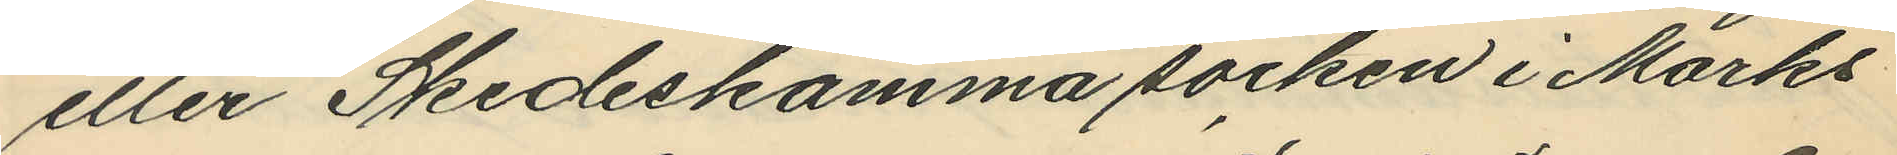eller Skedeskamma socken i Marks
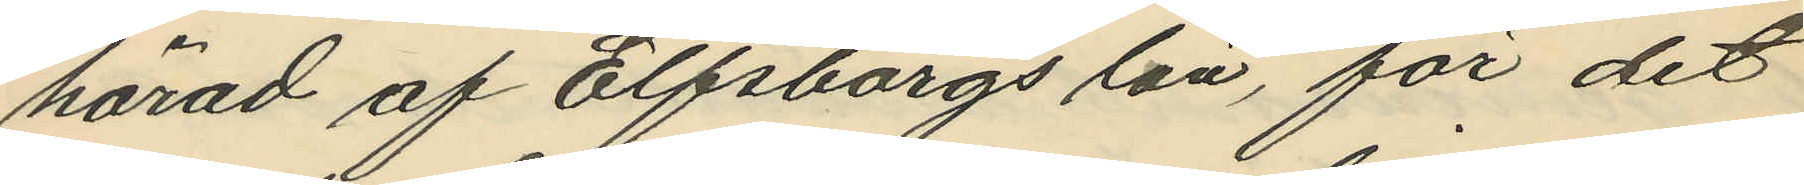härad af Elfsborgs län, för det
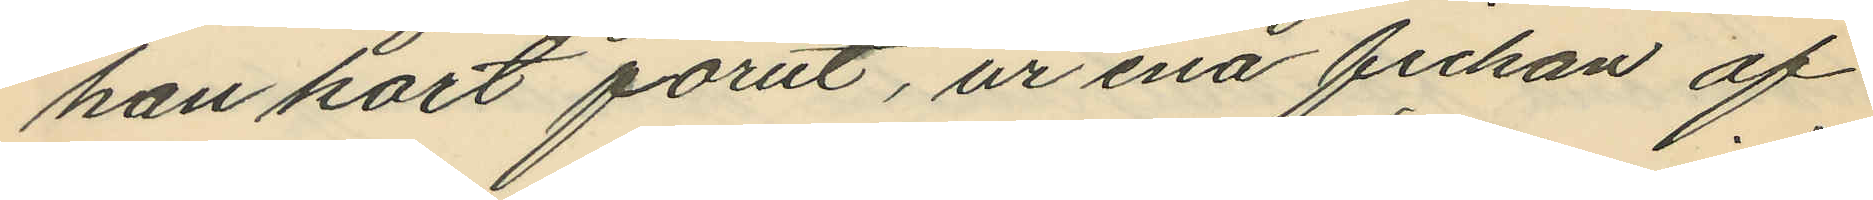han kort förut, ur ena fickan af
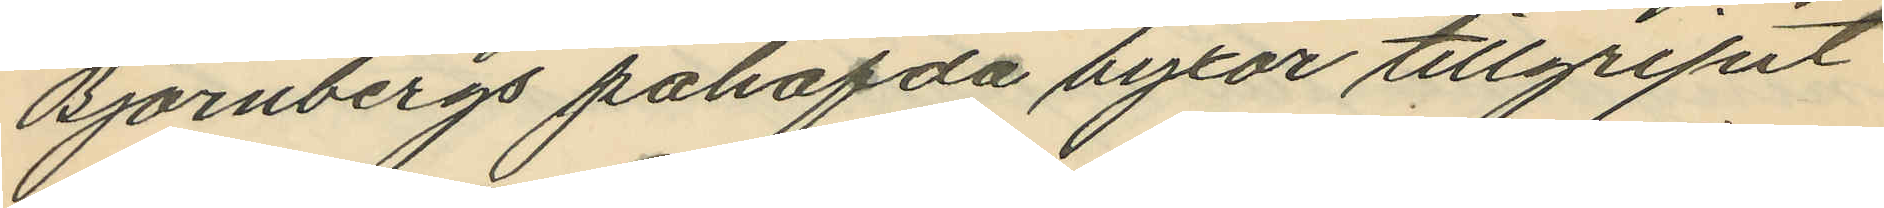Björnbergs påhafda byxor tillgripit
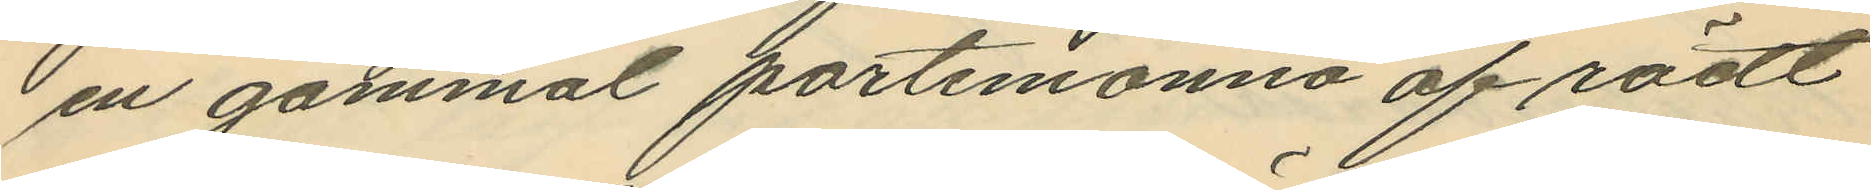en gammal portemonnä af rödt
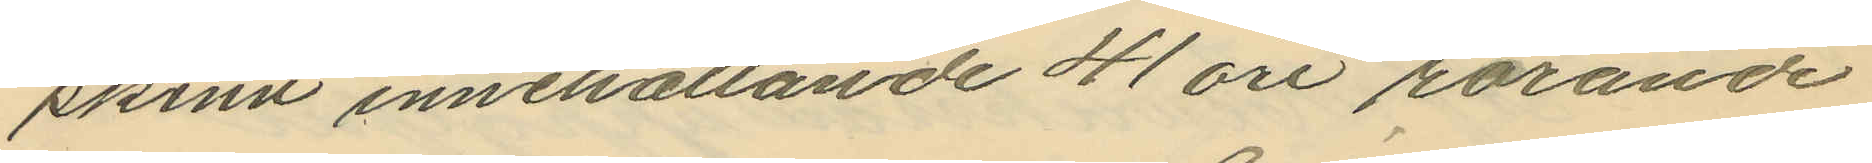skinn innehållande 41 öre rörande
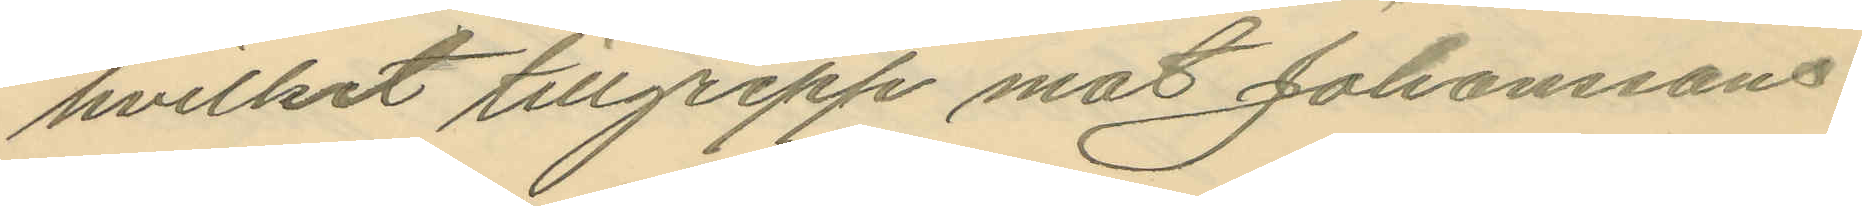hvilket tillgrepp mot Johanssons
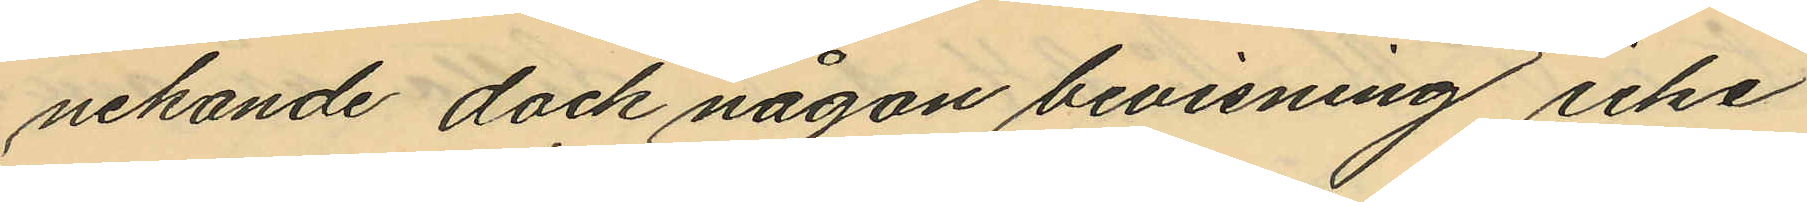nekande dock någon bevisning icke
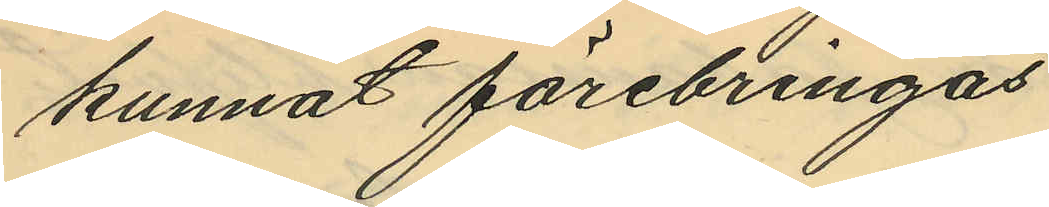kunnat förebringas
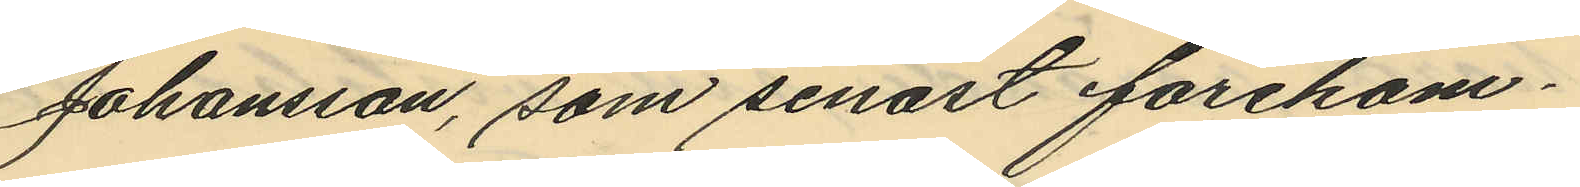Johansson, som senast förekom¬
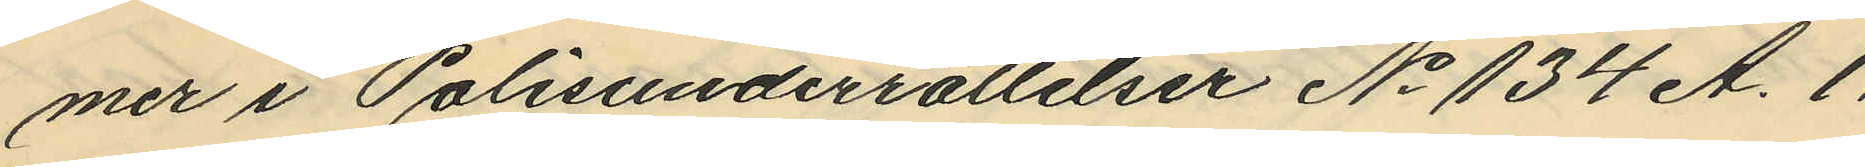mer i Polisunderrättelser No 134 A. 1.
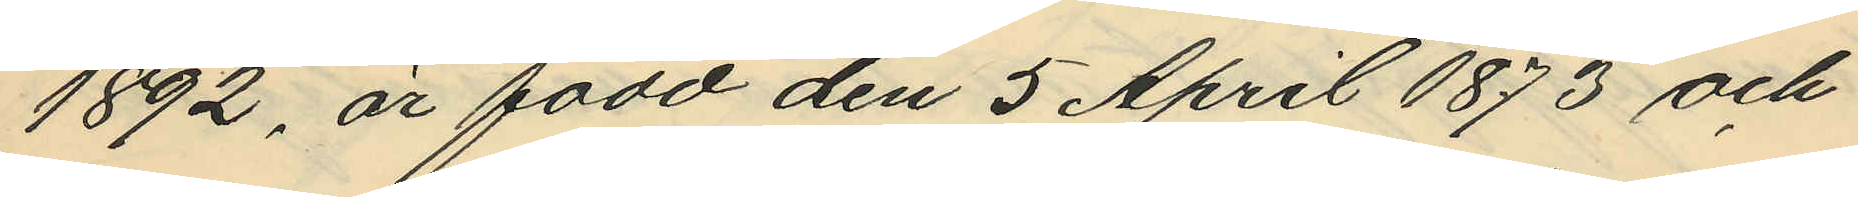1892, är född den 5 April 1873 och
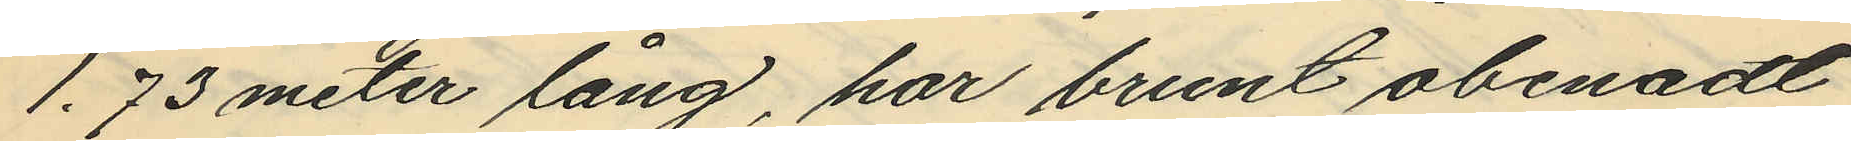1,73 meter lång, har brunt obenadt
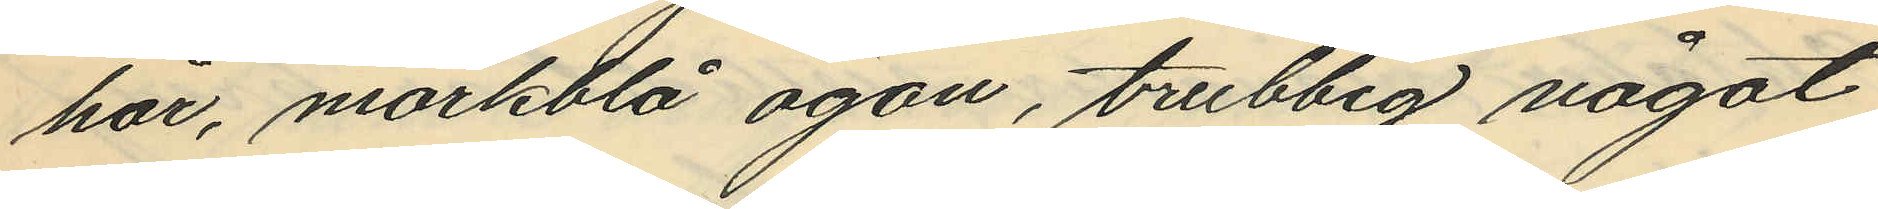har, mörkblå ögon, trubbig något
